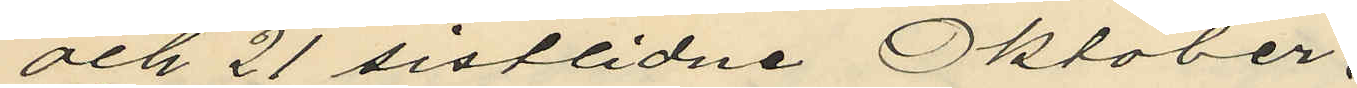och 21 sistlidne Oktober.
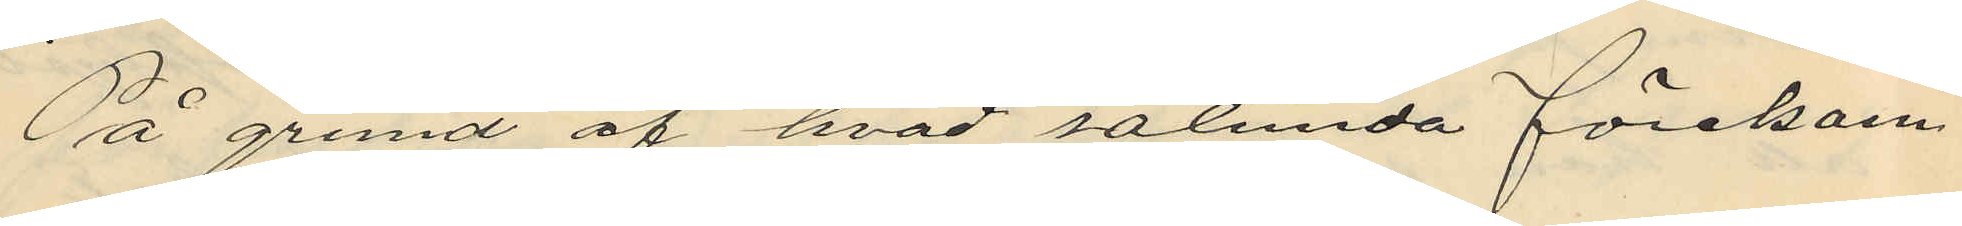På grund af hvad sålunda förekom¬
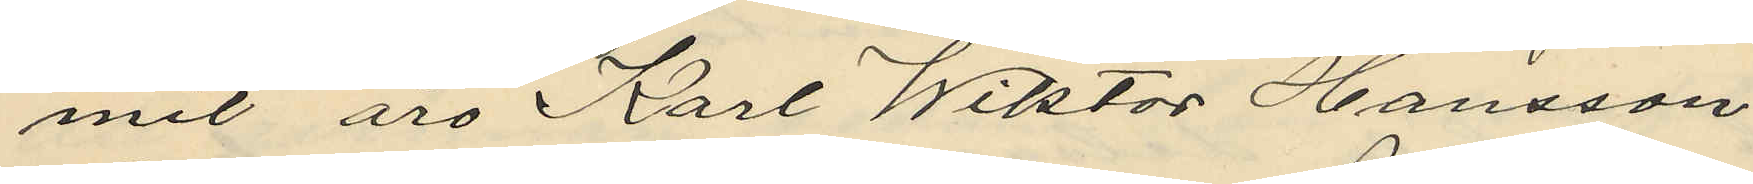mit äro Karl Wiktor Hansson
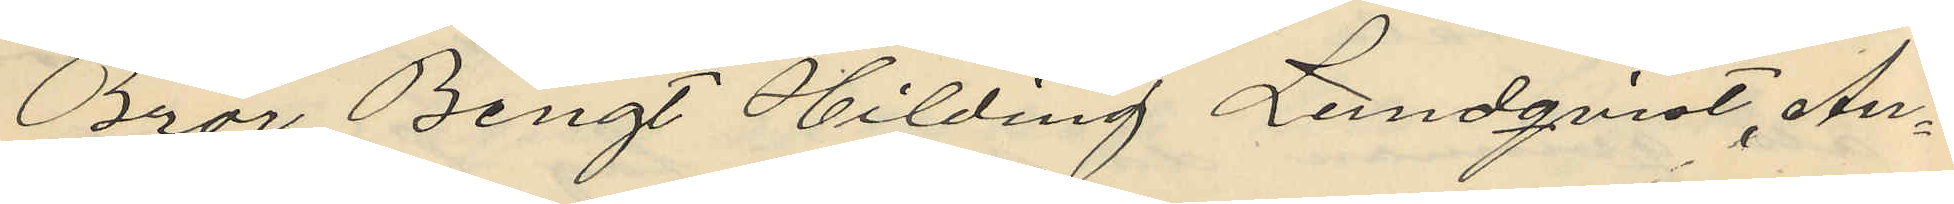Bror Bengt Hilding Lundqvist, An¬
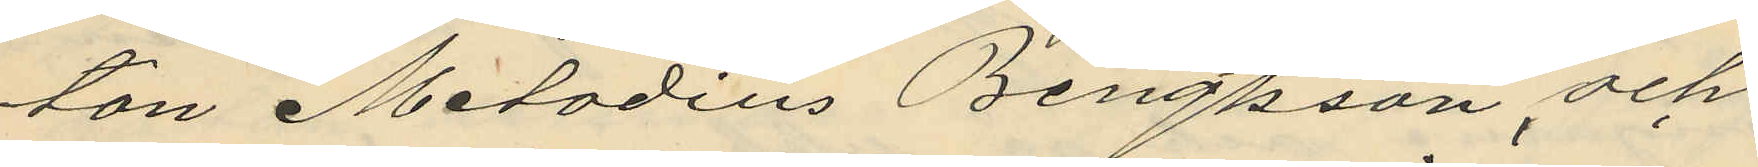ton Metodius Bengtsson och
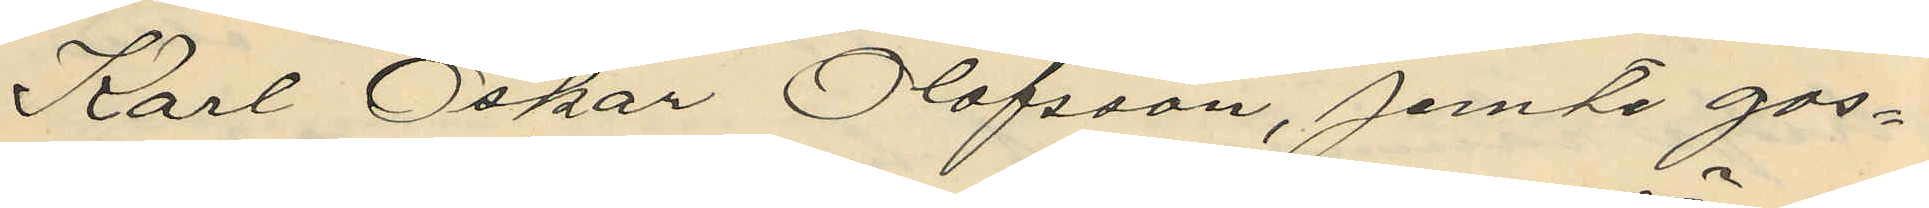Karl Oskar Olofsson, jemte gos¬
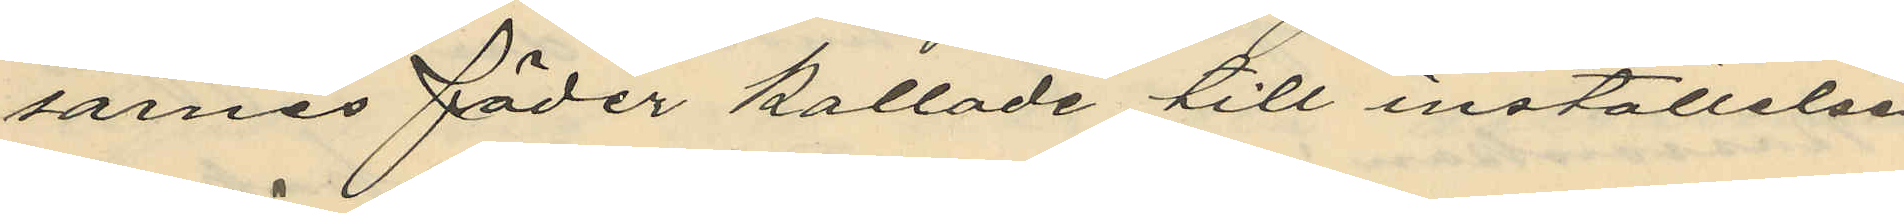sarnes fäder kallade till inställelse
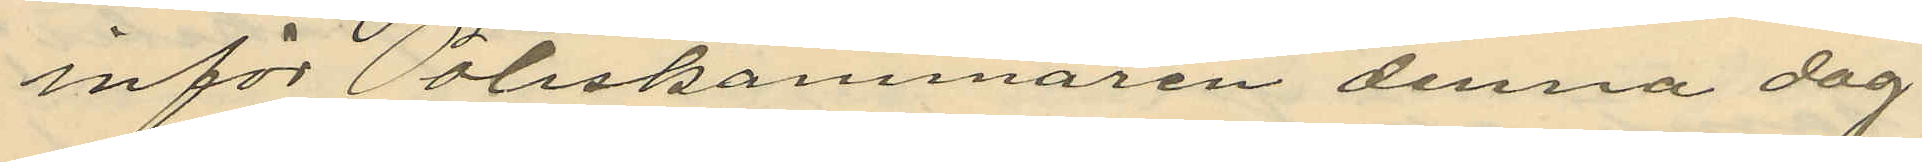inför Poliskammaren denna dag
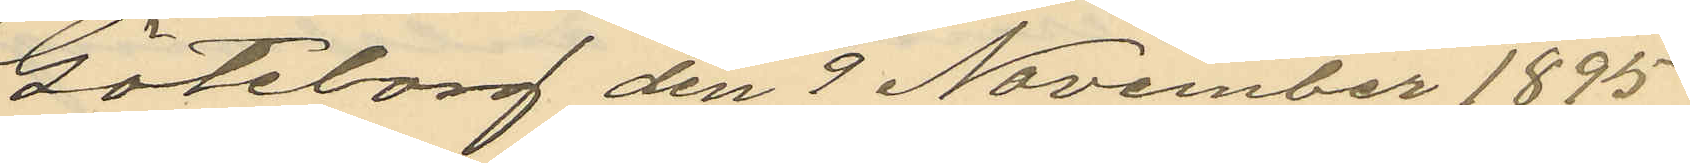Göteborg den 9 November 1895
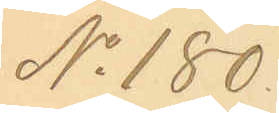No 180
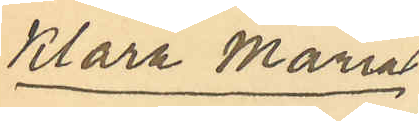Klara Maria
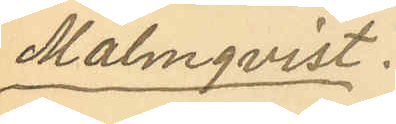Malmqvist.
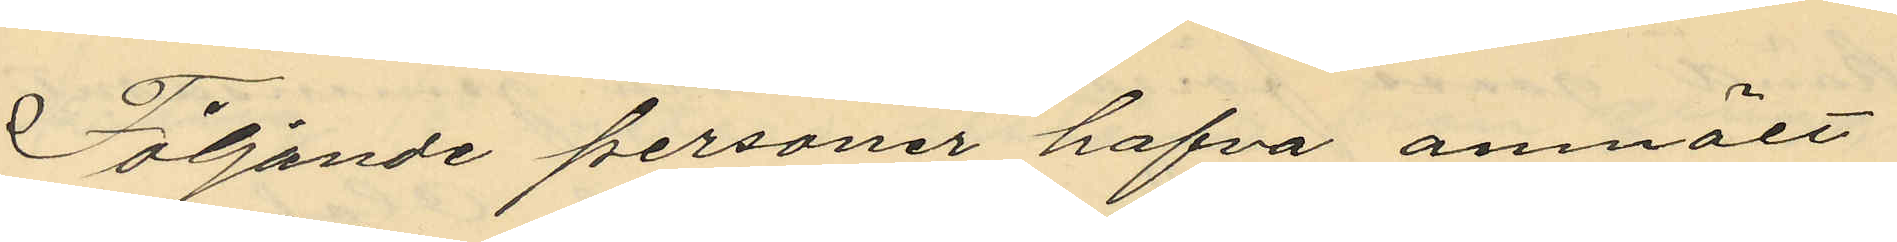Följande personer hafva anmält
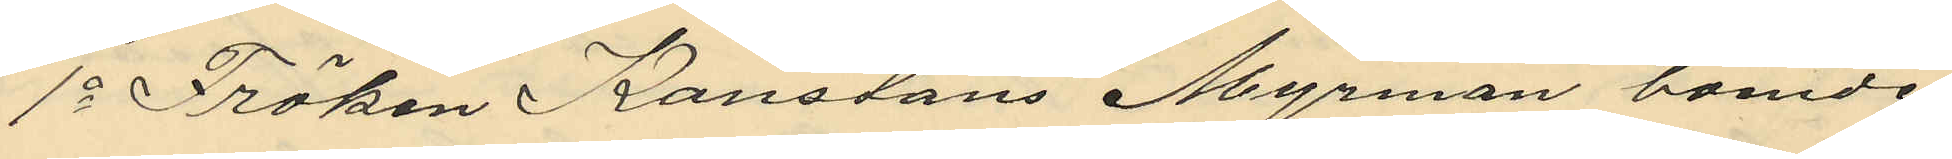1o Fröken Konstans Myrman boende
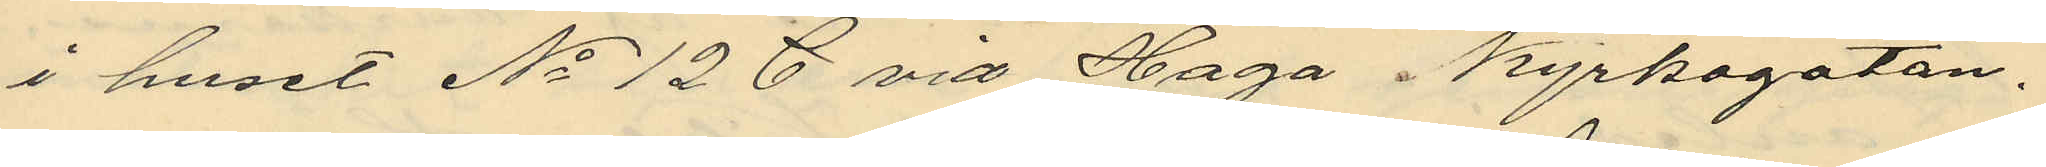i huset No 128 vid Haga i kyrkogatan,
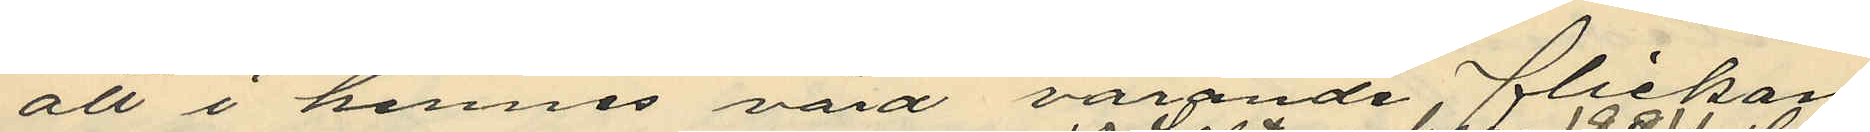att i hennes vård varande flickan
